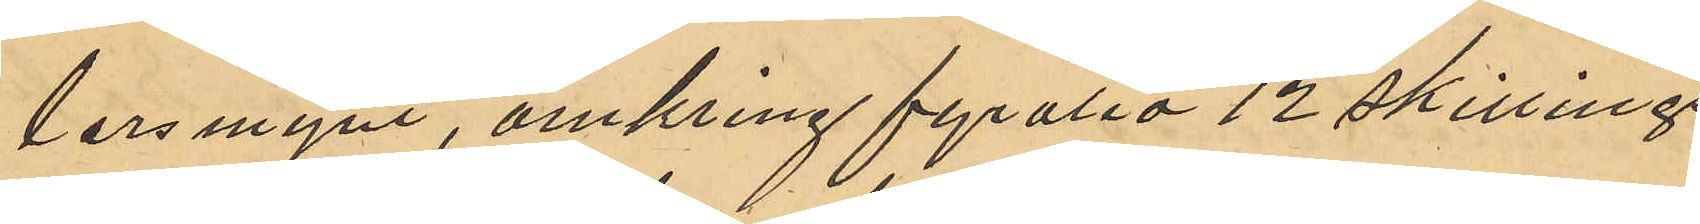lersmynt, omkring fyratio 12 skillings¬
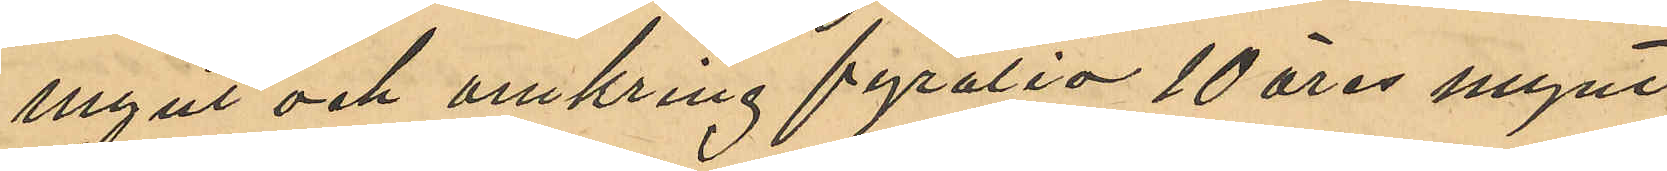mynt och omkring fyratio 10 öres mynt,
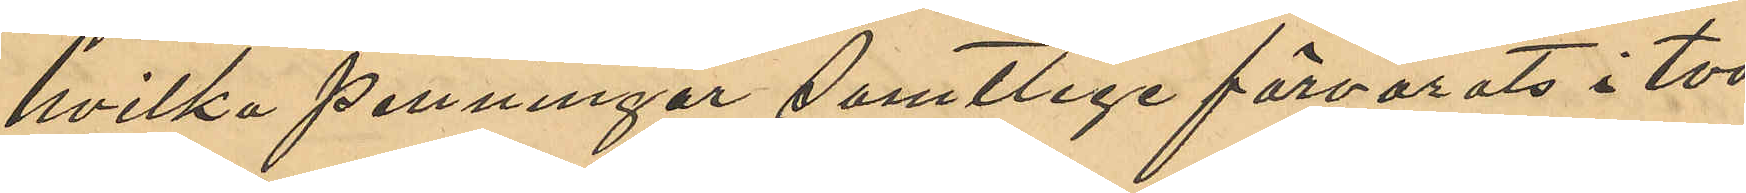hvilka penningar samtlige förvarats i två
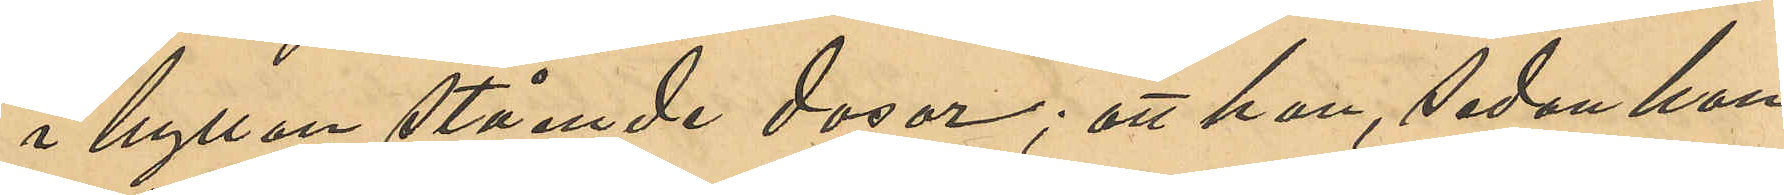i hyllan stående dosor; att han, sedan han
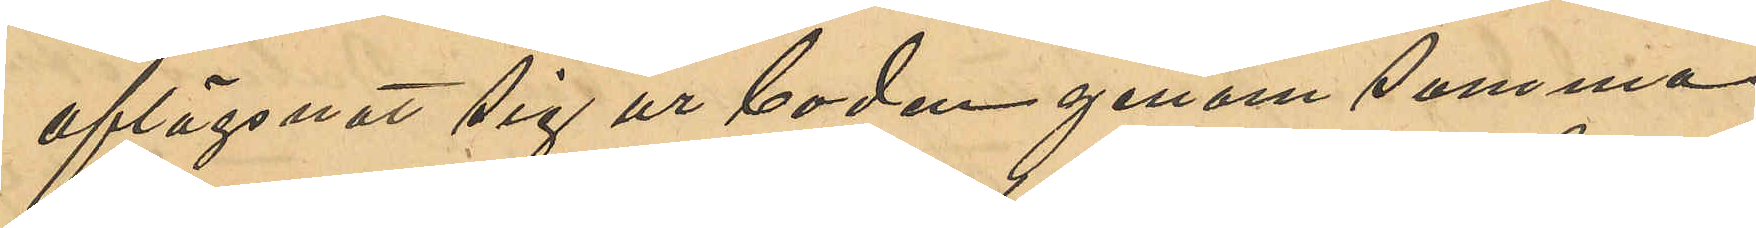aflägsnats sig ur boden genom samma
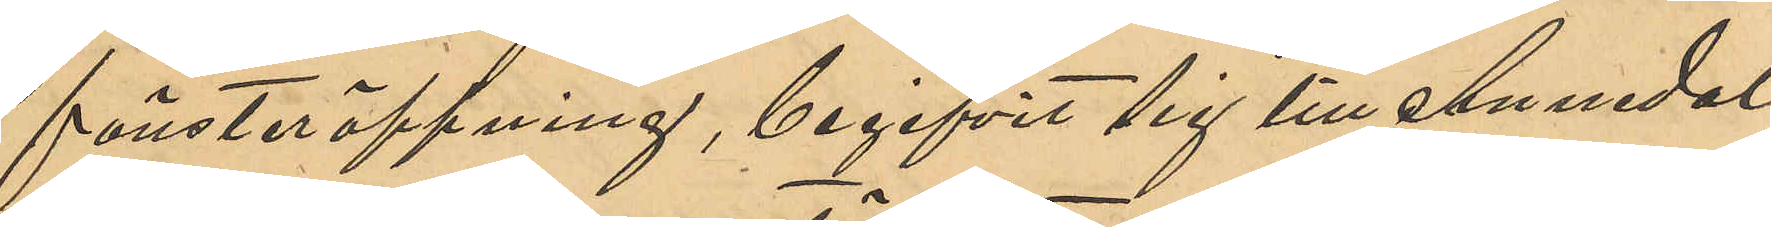fönsteröppning, begifvit sig till Annedal,
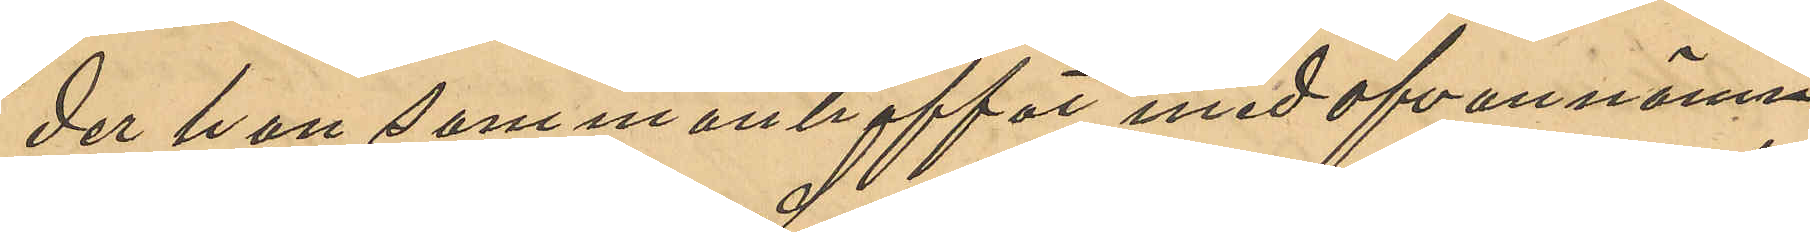der han sammanträffat med ofvannämn¬
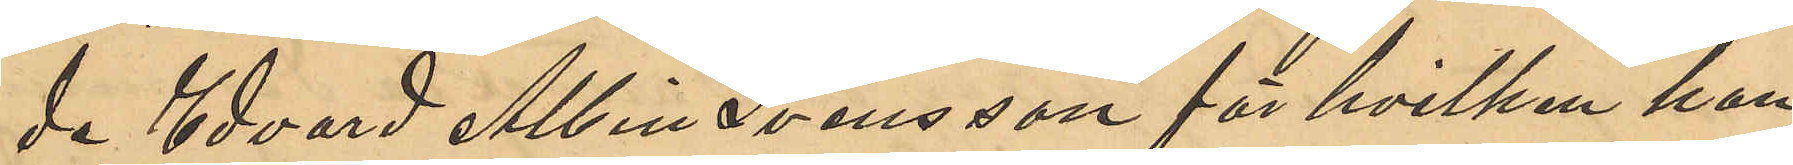de Edvard Albin Svensson för hvilken han
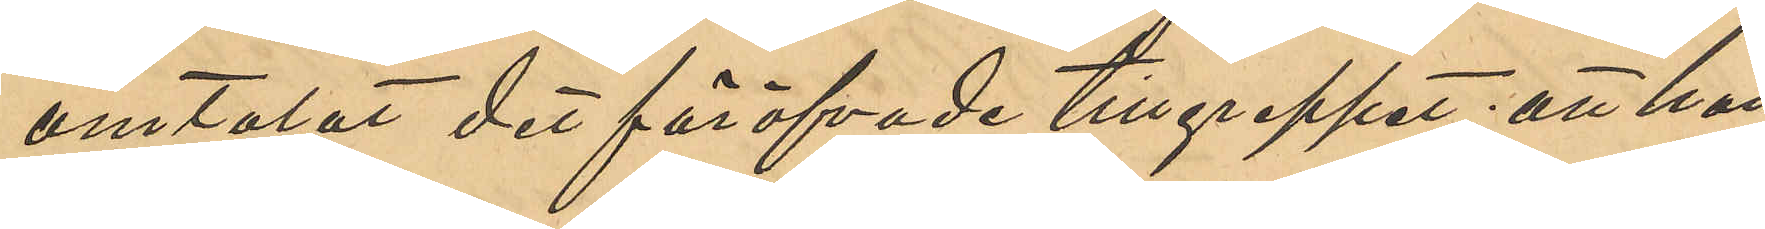omtalat det föröfvade tillgreppet; att han
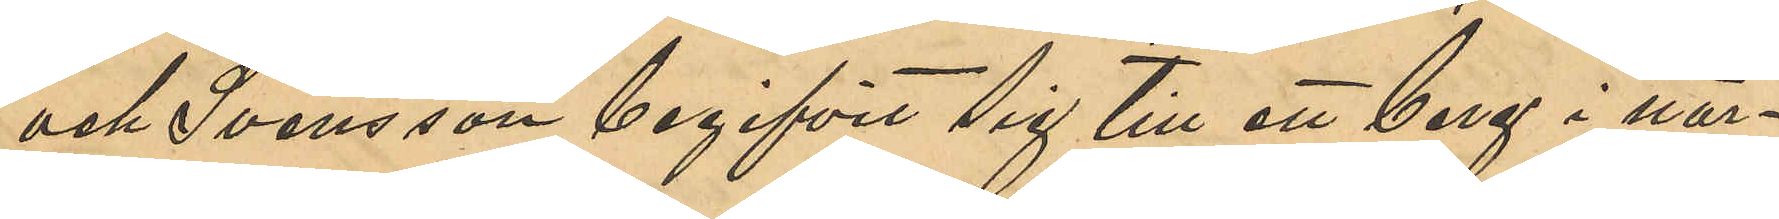och Svensson begifvit sig till ett berg i när¬
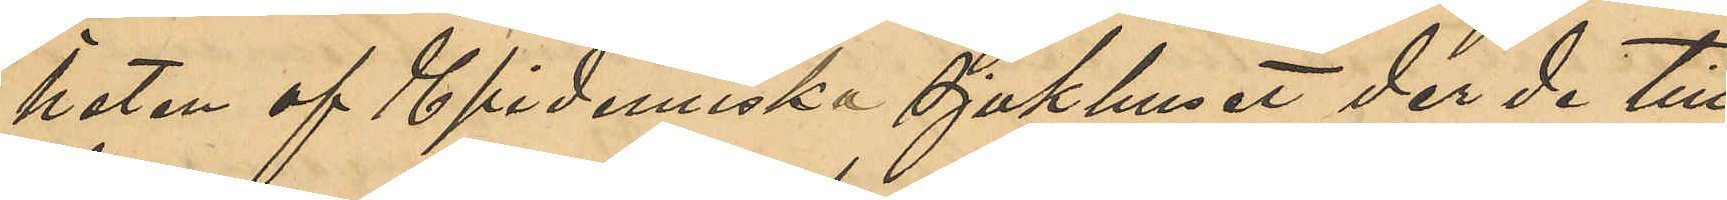heten af Epidemiska Sjukhuset der de till¬
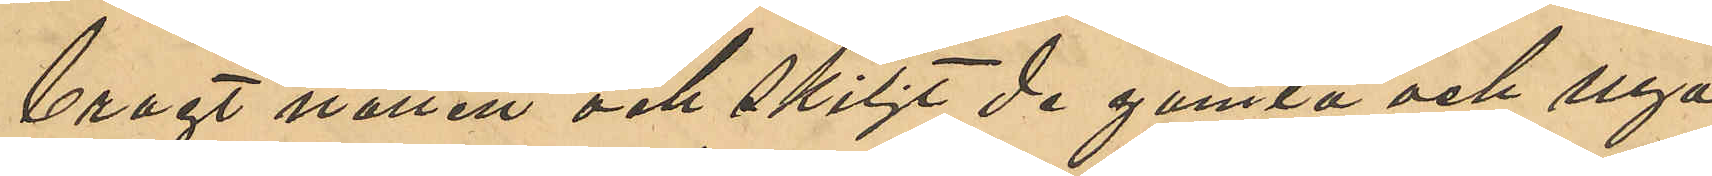bragt natten och skiljt de gamla och nya
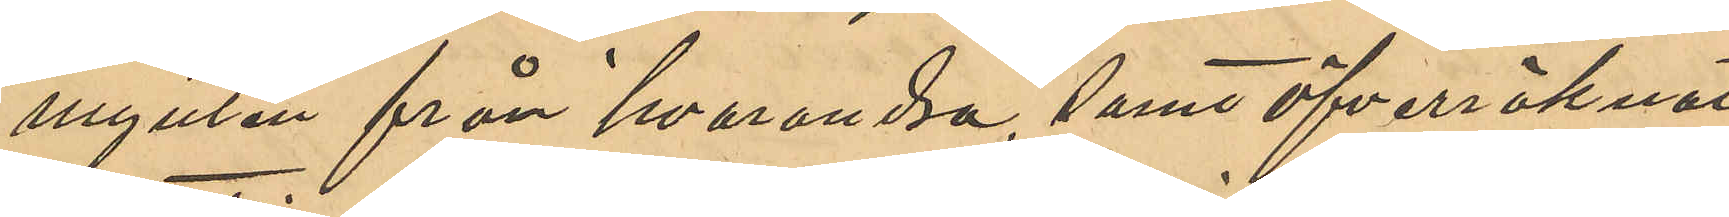mynten från hvarandra, samt öfverräknat
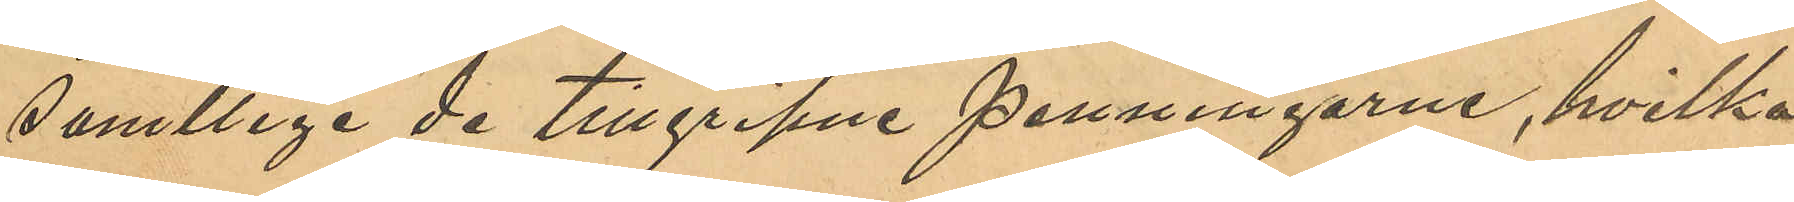samtlige de tillgripne penningarne, hvilka,
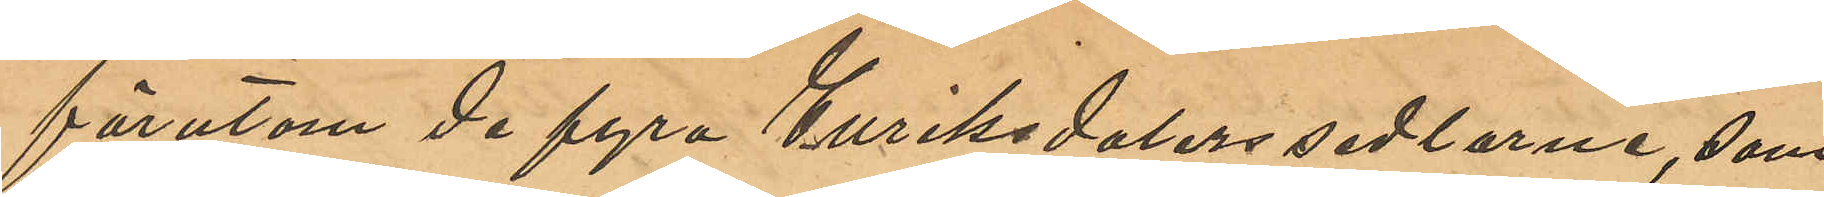förutom de fyra Enriksdalerssedlarne, som
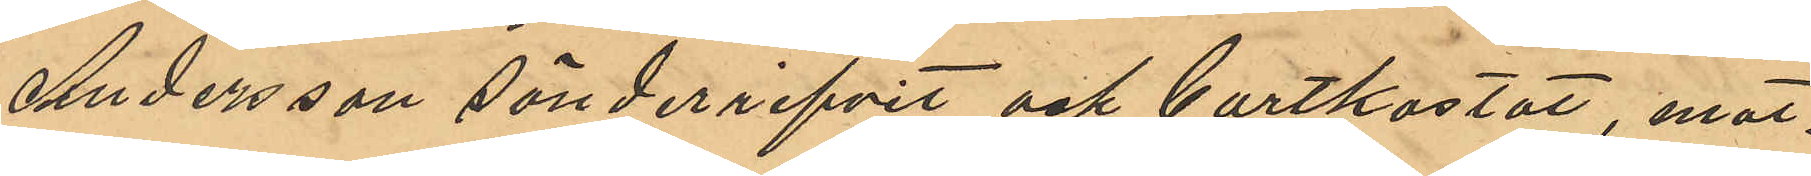Andersson sönderrifvit och bortkastat, mot¬
